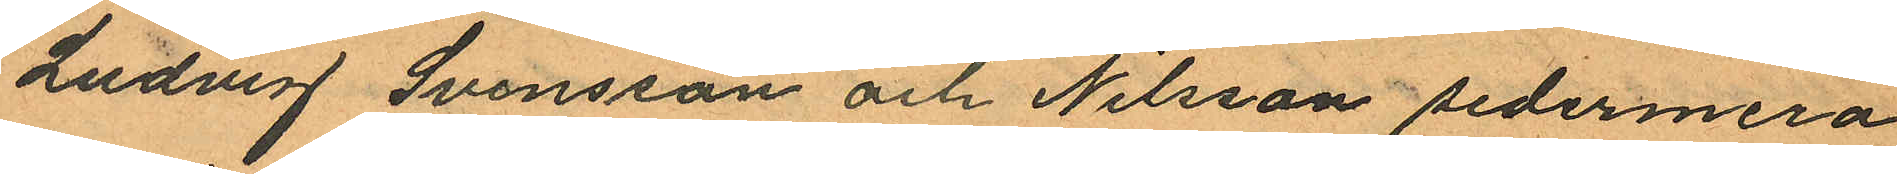Ludvig Svensson och Nilsson sedermera
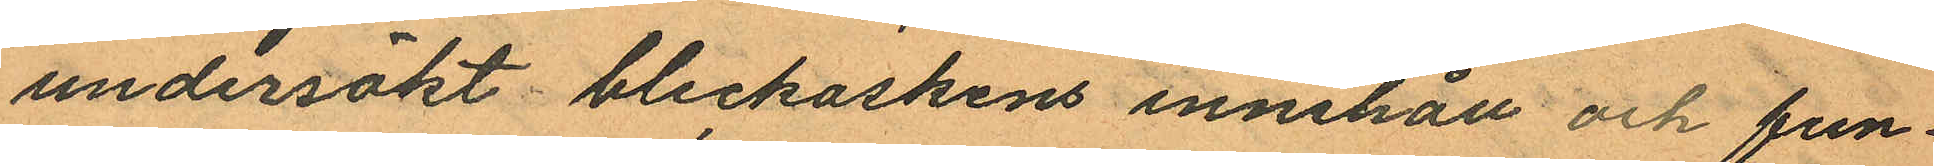undersökt bleckaskens innehåll och fun¬
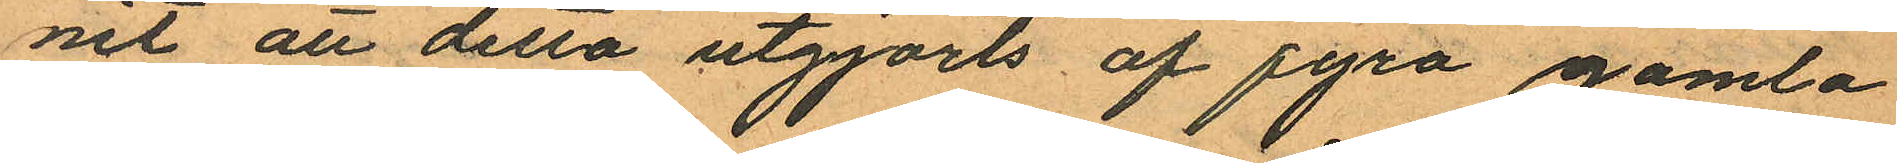nit att delta utgjorts af fyra gamla
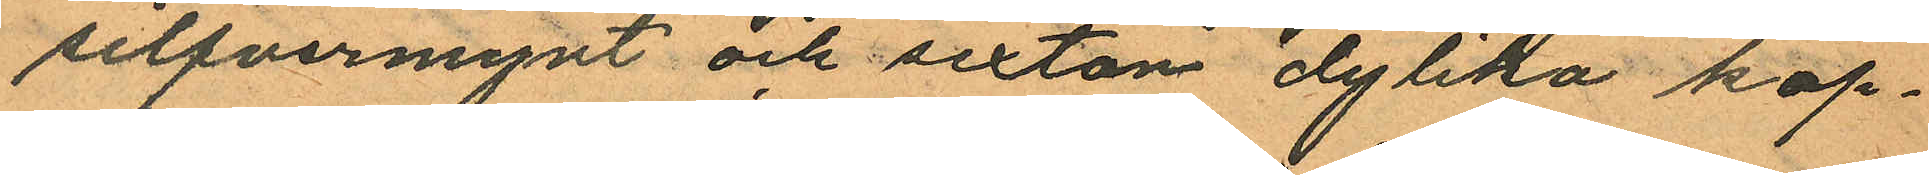silfvermynt och sexton dylika kop¬
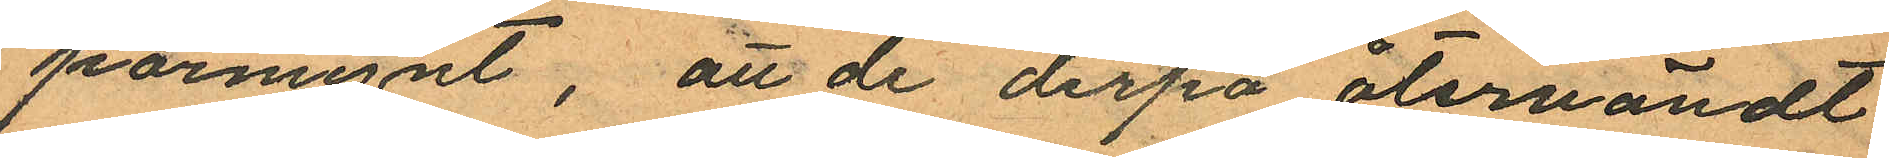parmynt, att de derpå återvändt
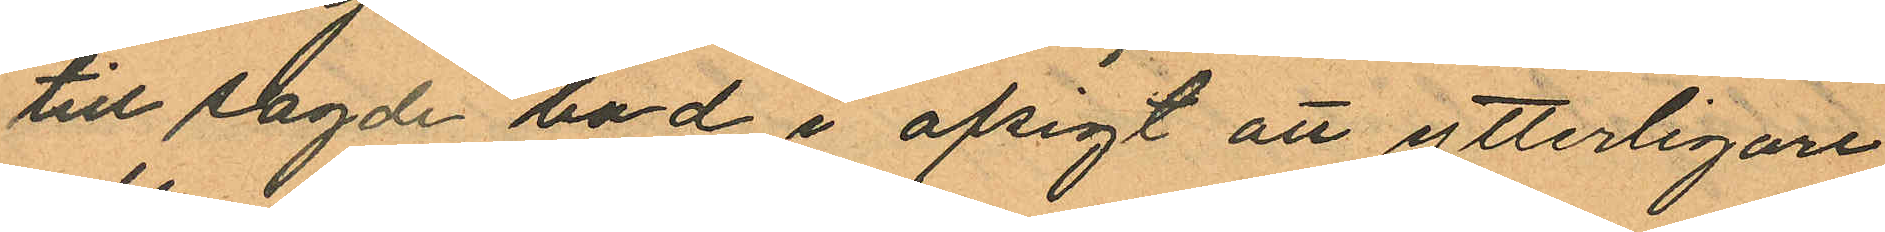till sagde bod i afsigt att ytterligare
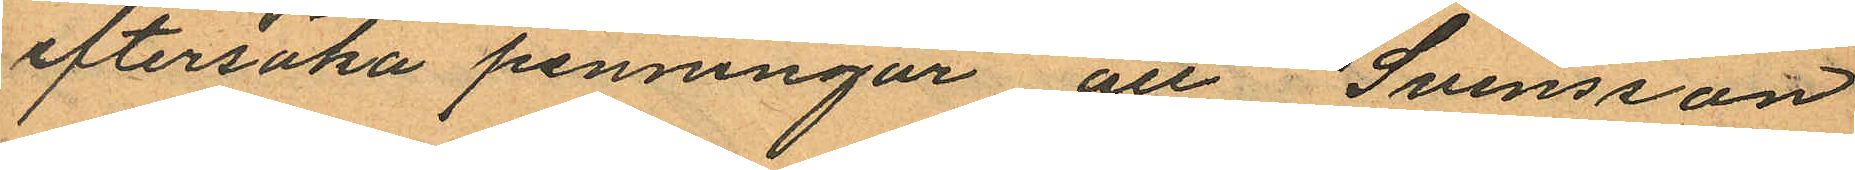eftersöka penningar, att Svensson
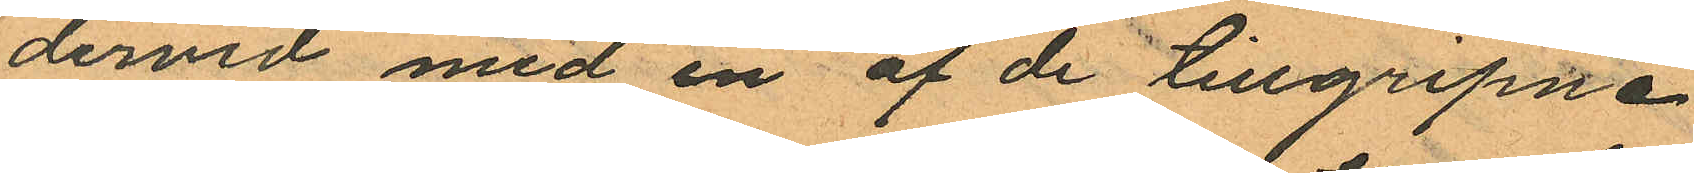dervid med en af de tillgripne
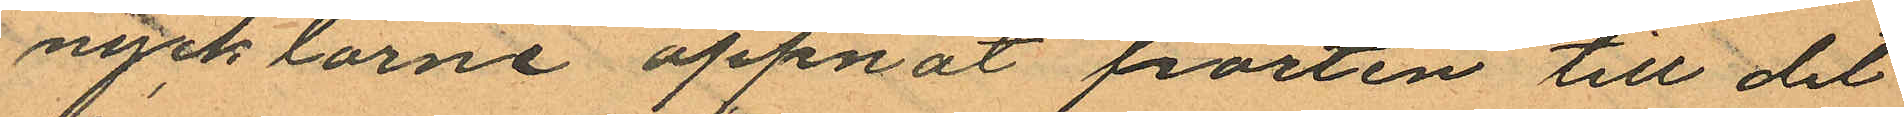nycklarne öppnat porten till det
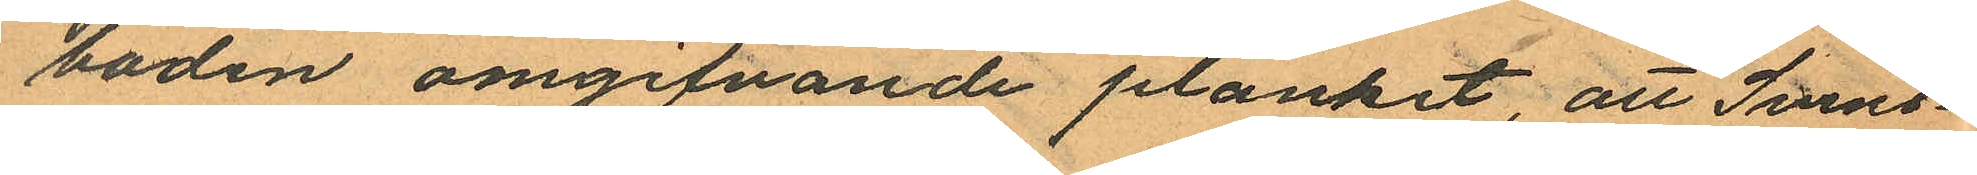boden omgifvande planket, att Svens¬
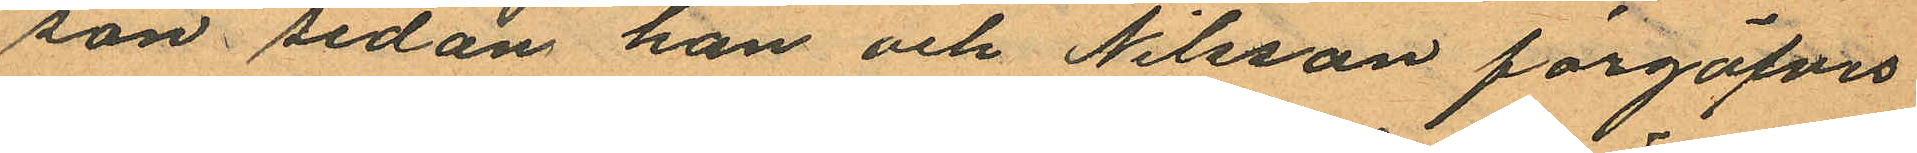son sedan han och Nilsson förgäfves
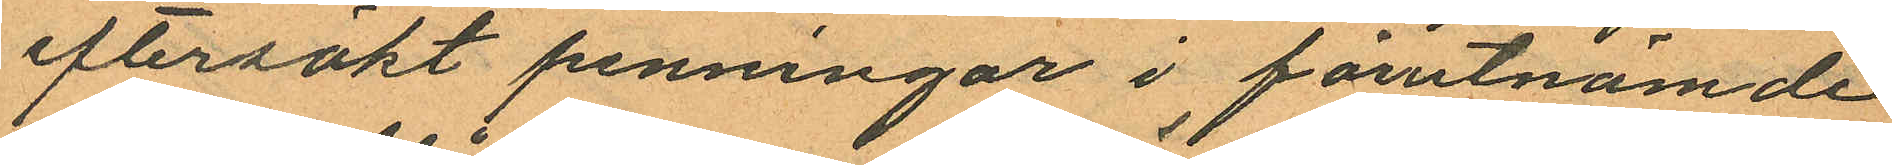eftersökt penningar i förutnämde
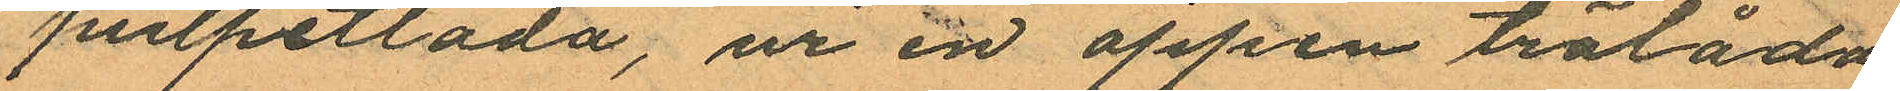pulpetlåda; ur en öppen trälåda
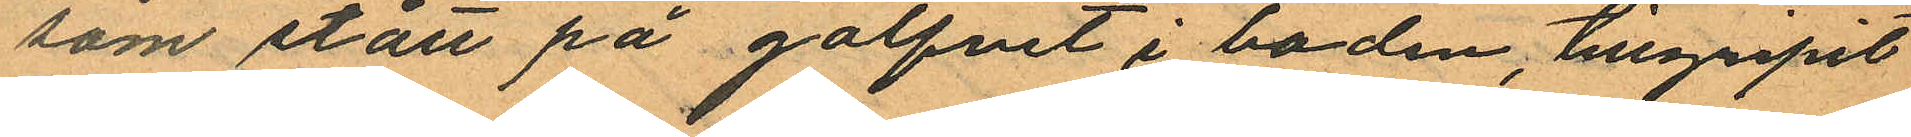som stått på golfvet i boden, tillgripit
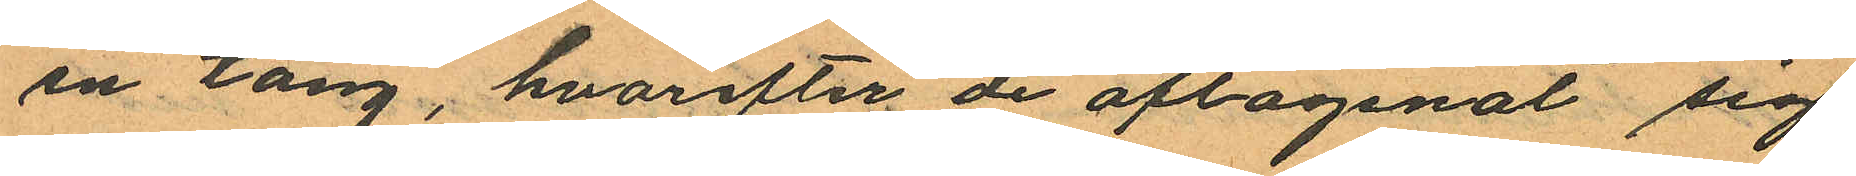en tång, hvarefter de aflägsnat sig
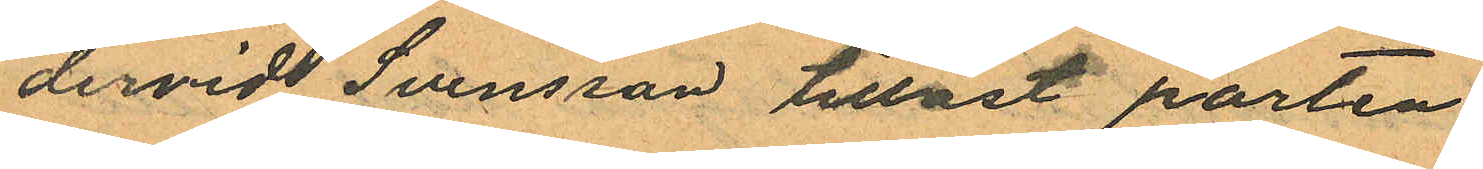dervid Svensson tillåst porten
